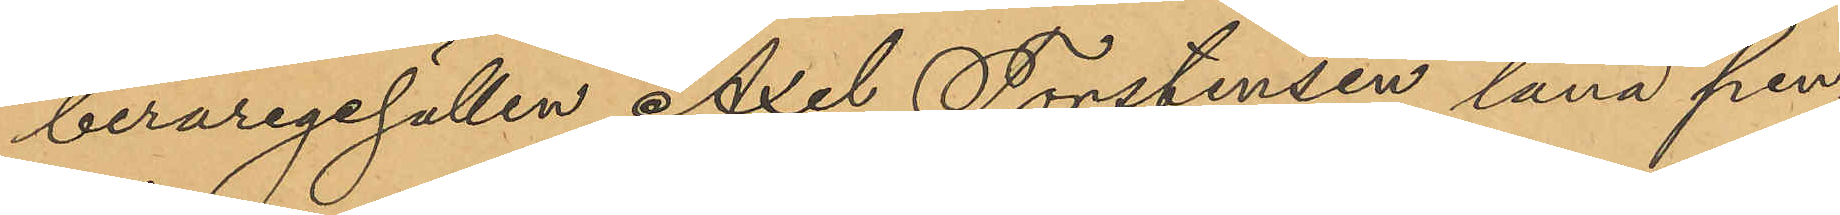beraregesällen Axel Torstensen låna pen¬
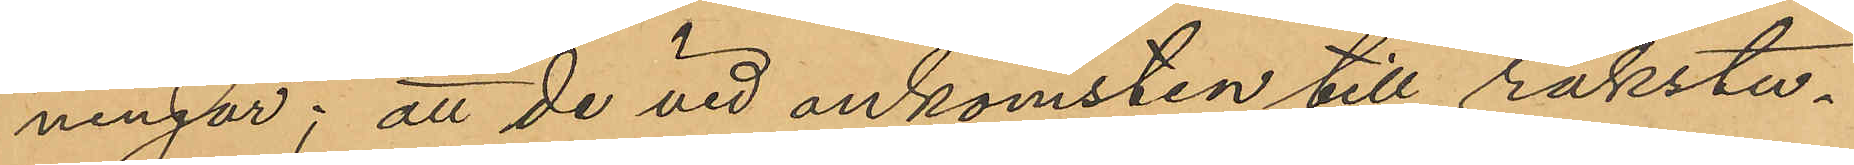ningar; att de vid ankomsten till rakstu¬
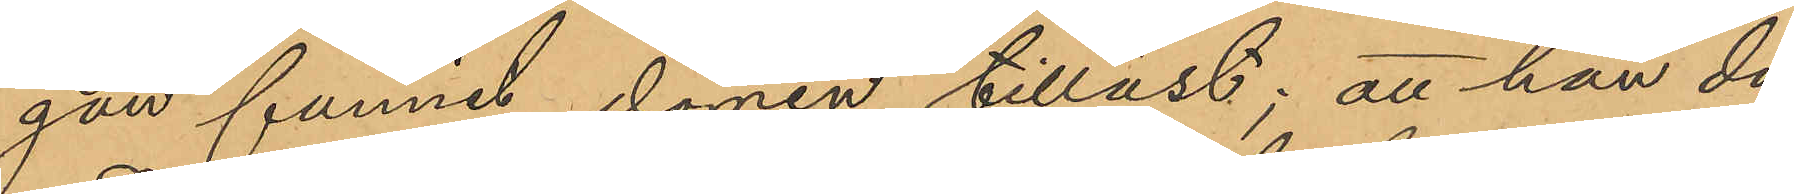gan funnit dörren tillåst; att han då
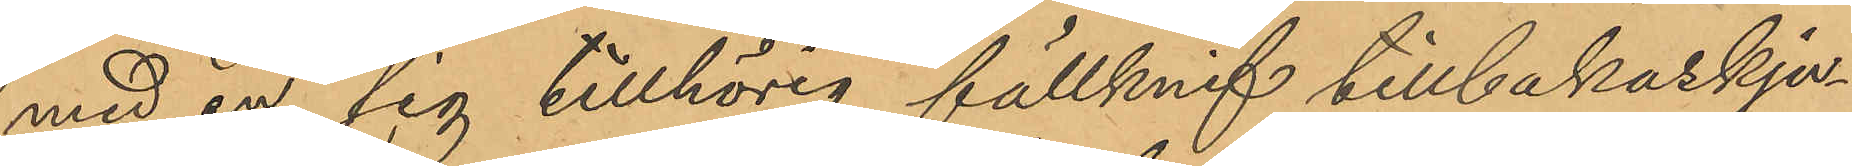med en sig tillhörig fällknif tillbakaskju¬
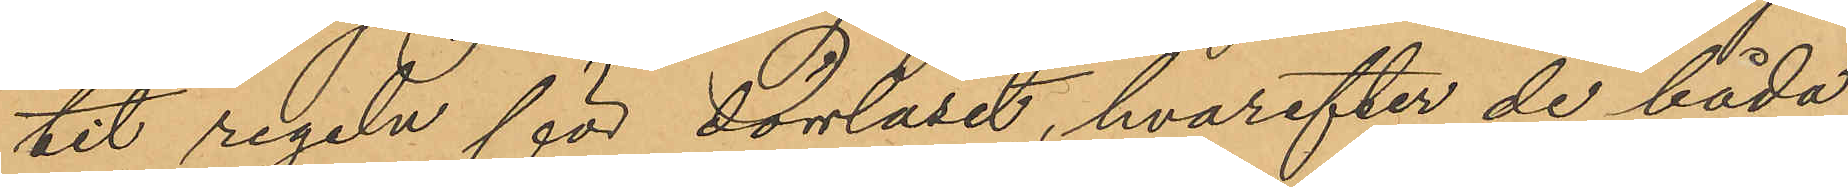tit regeln för dörrlåset, hvarefter de båda
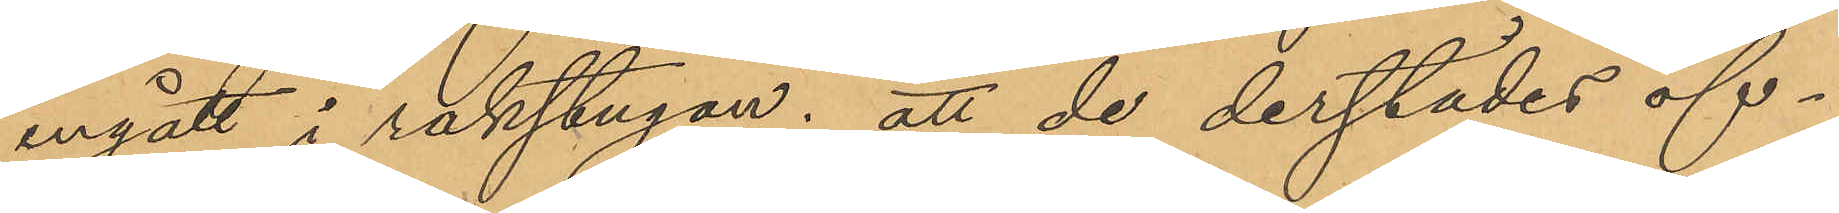ingått i rakstugan; att de derstädes öf¬
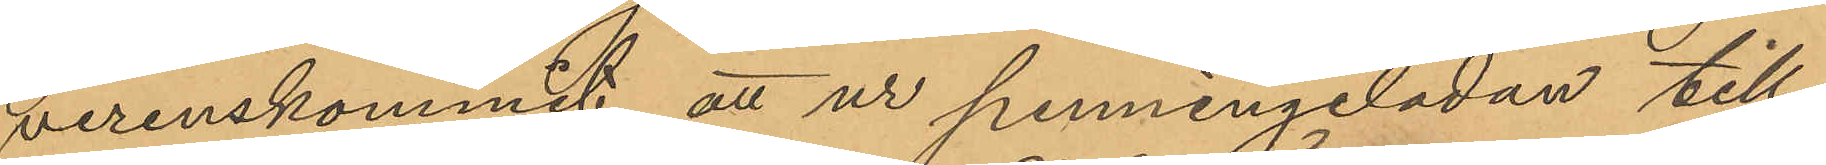verenskommit att ur penningelådan till¬
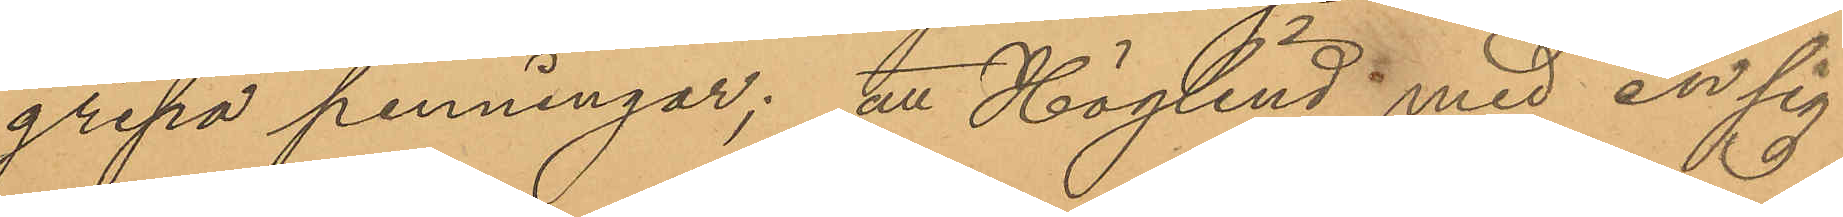gripa penningar; att Höglind med en sig
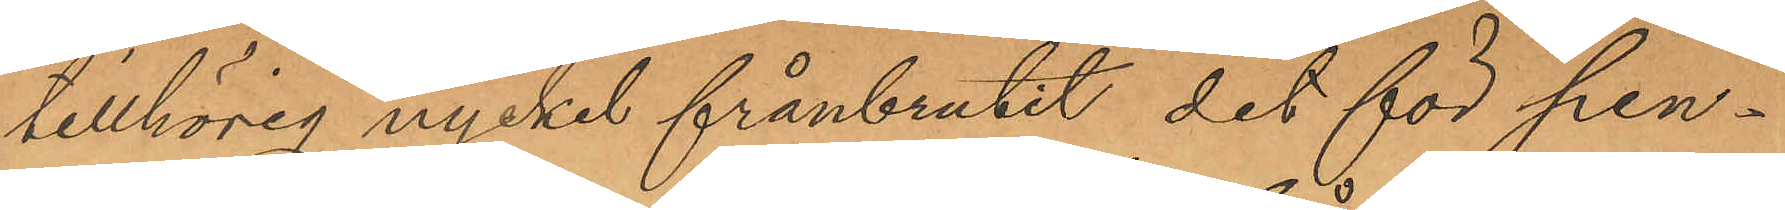tillhörig nyckel frånbrutit det för pen¬
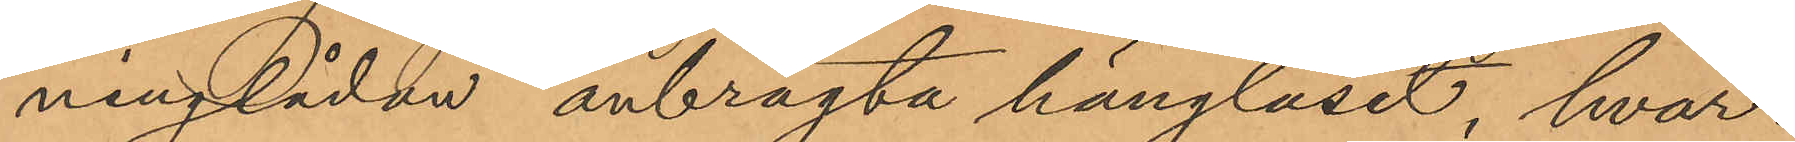ninglådan anbragta hänglåset, hvar¬
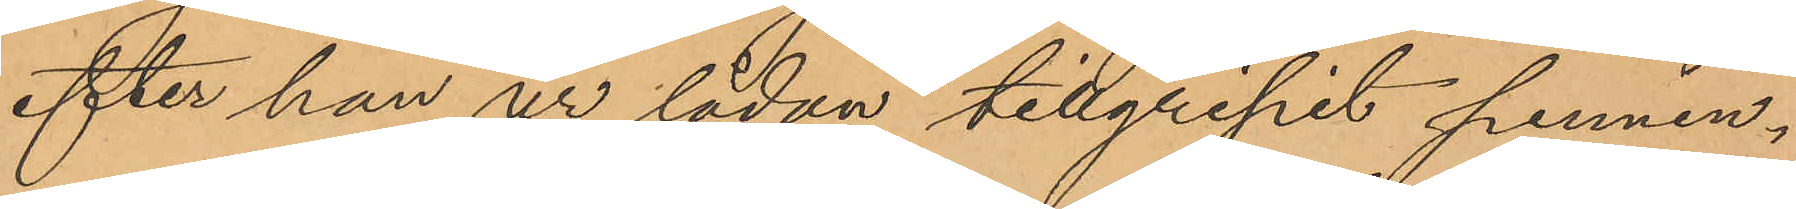efter han ur lådan tillgripit pennin¬
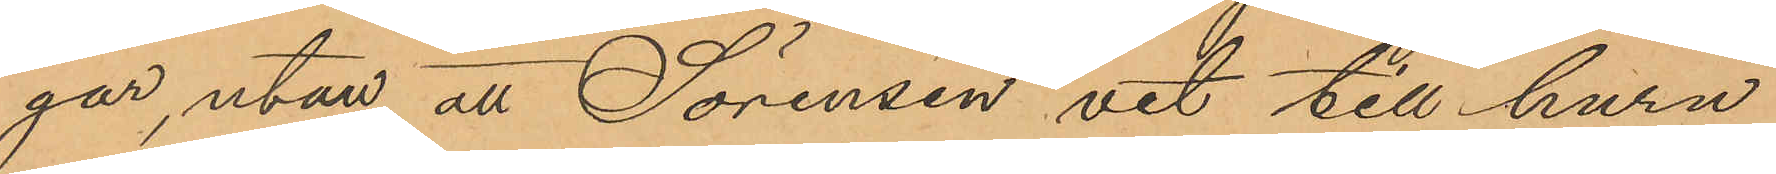gar, utan att Sörensen vet till huru
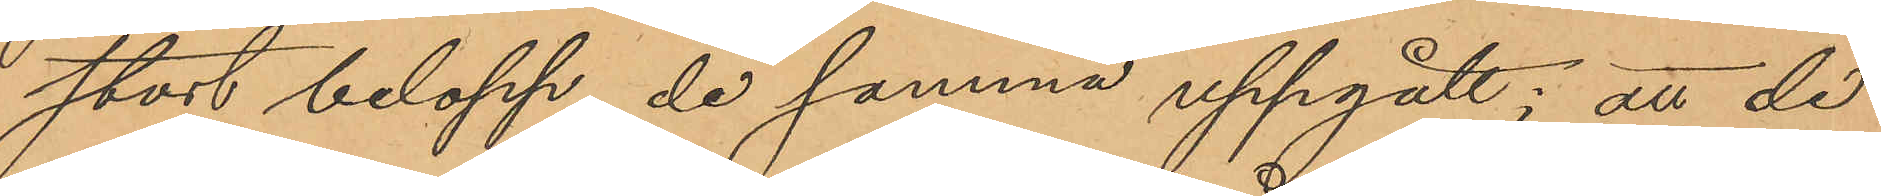stort belopp de samma uppgått; att de
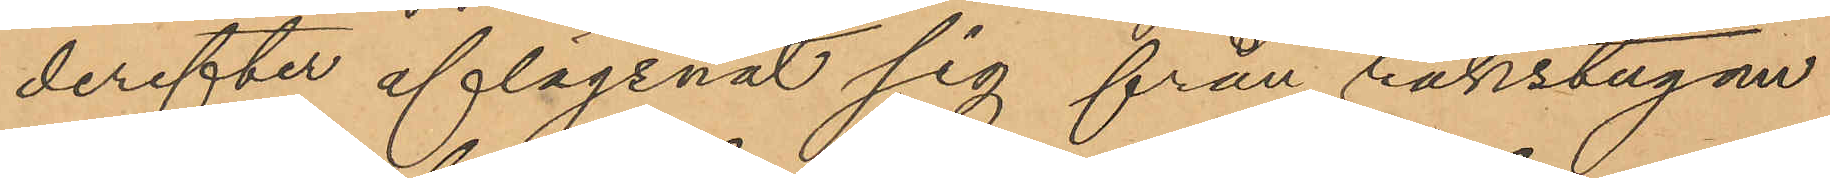derefter aflägsnat sig från rakstugan
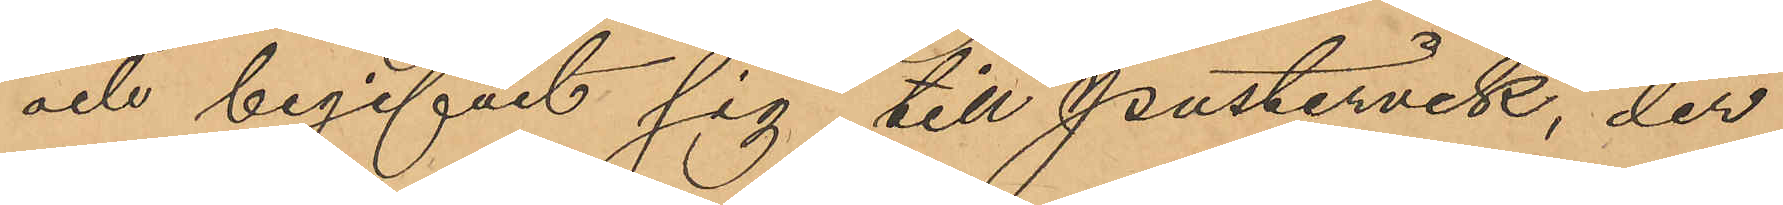och begifvit sig till Pustervik, der
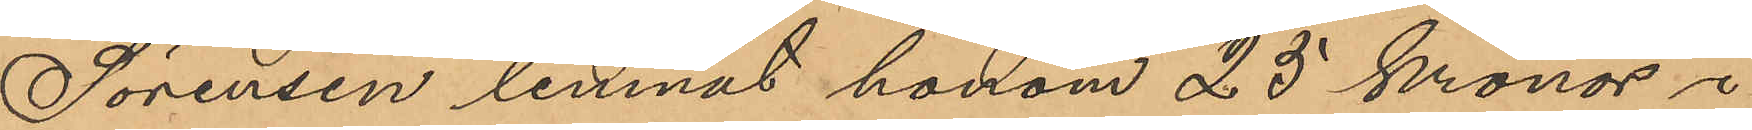Sörensen lemnat honom 25 kronor i
